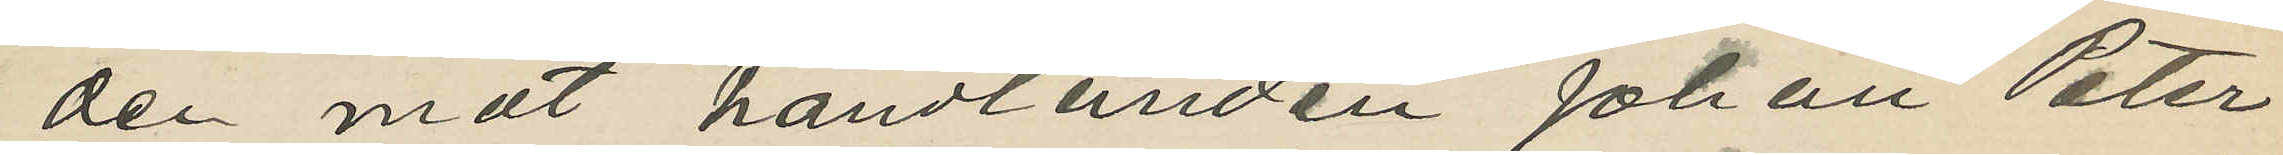den mot handlanden Johan Peter
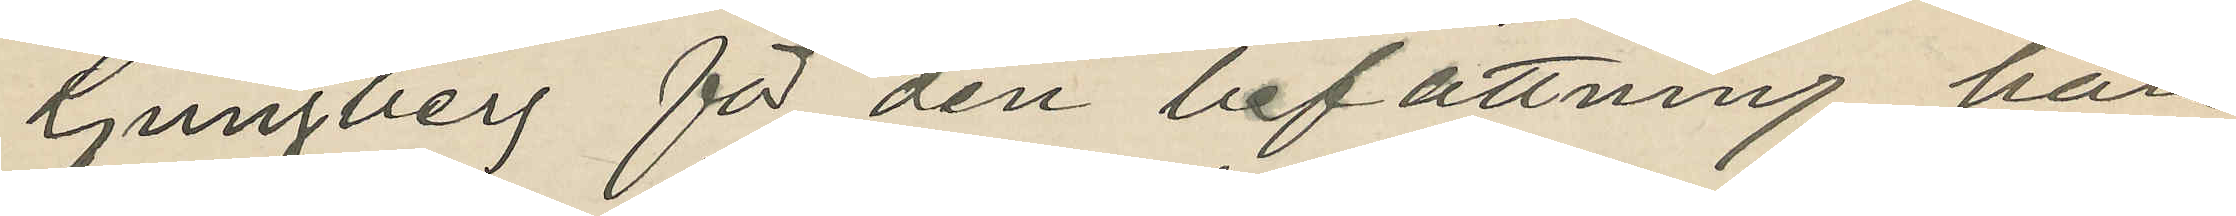Ljungberg för den befattning han
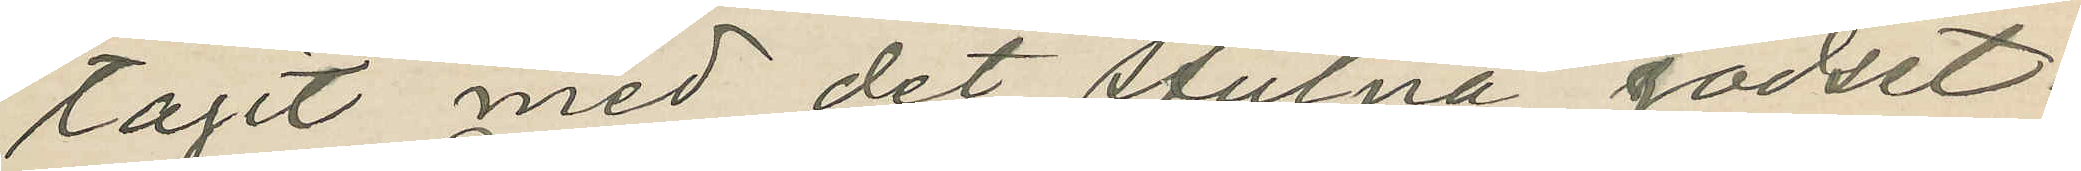tagit med det stulna godset.
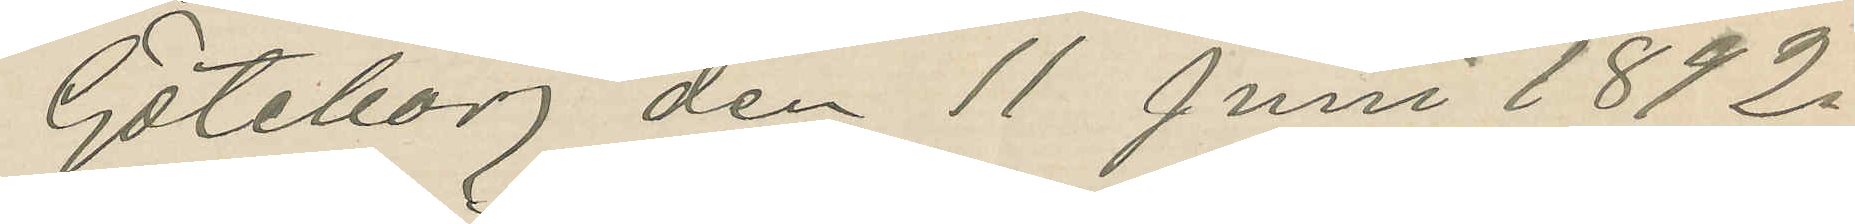Göteborg den 11 Juni 1892.
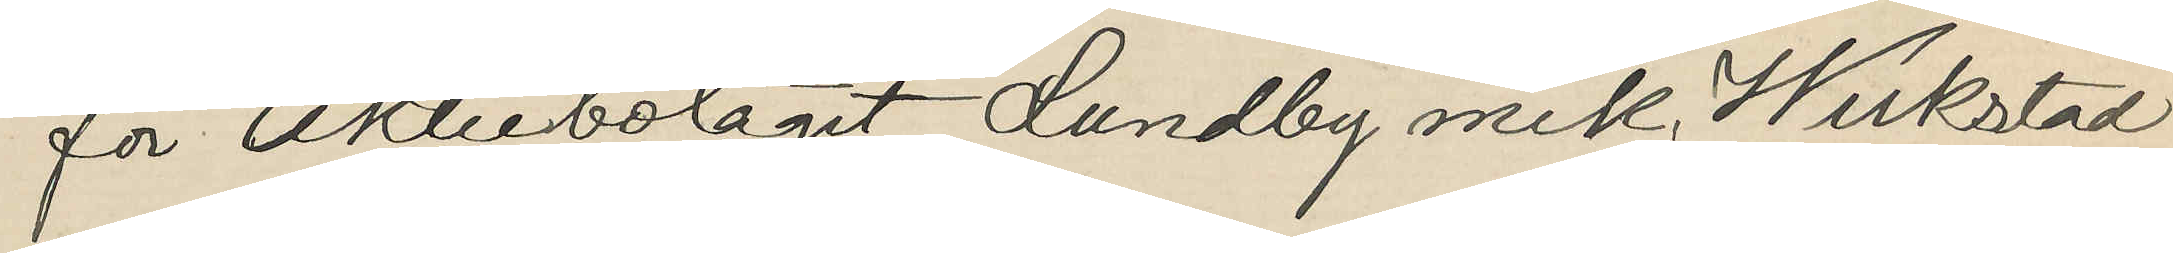för Aktiebolaget Lundby mek. Werkstad
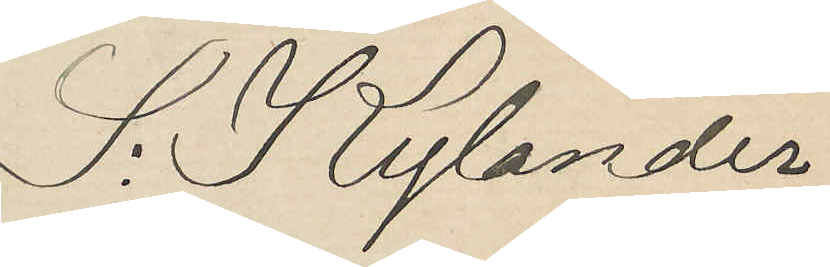S. Kylander
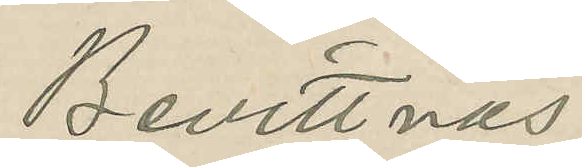Bevittnas.
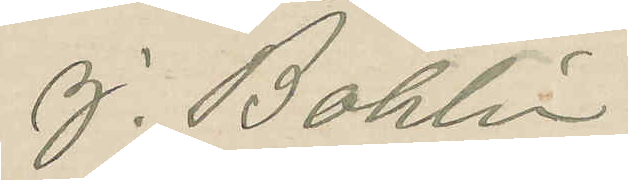J. Bohlin
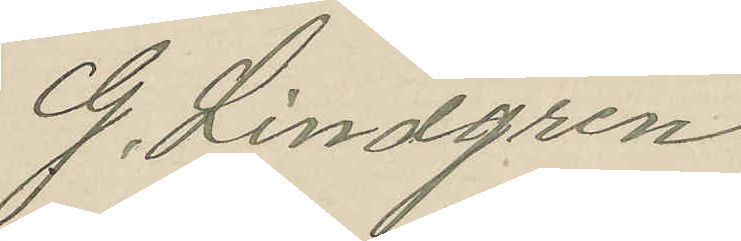G. Lindgren
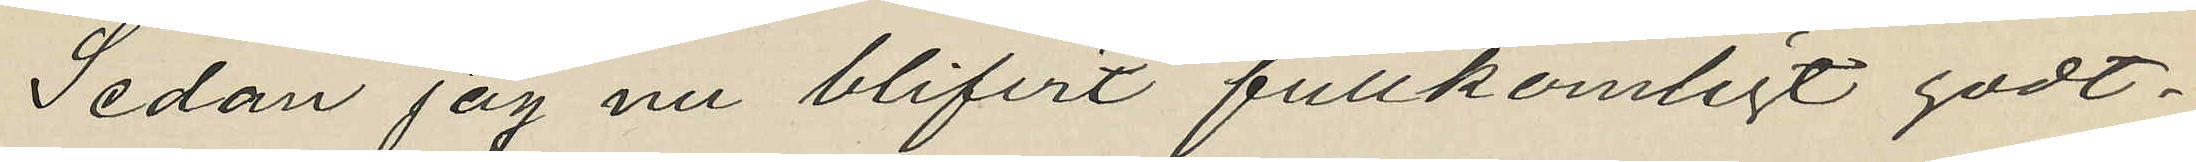Sedan jag nu blifvit fullkomligt godt¬
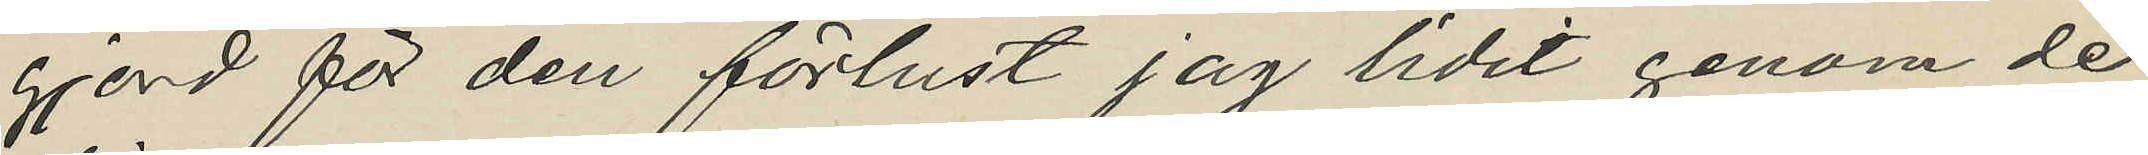gjord för den förlust jag lidit genom de
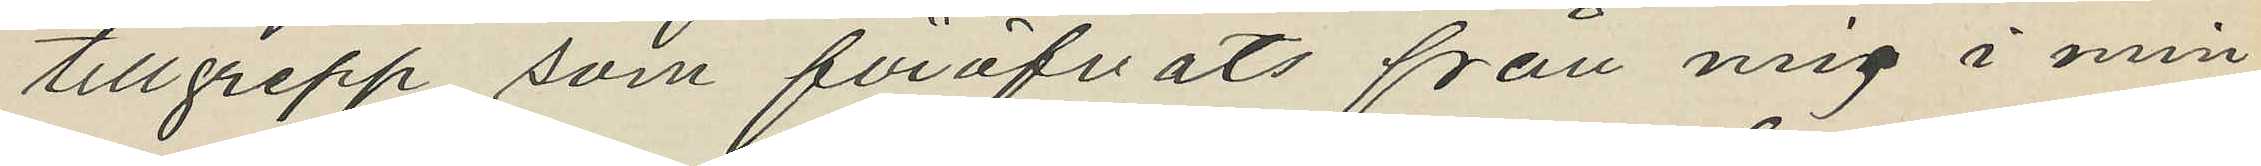tillgrepp som föröfvats från mig i min
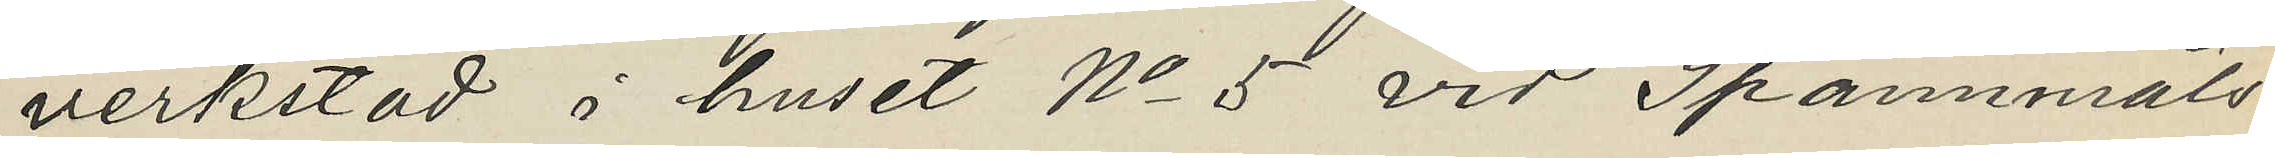verkstad i huset No 5 vid Spannmåls¬
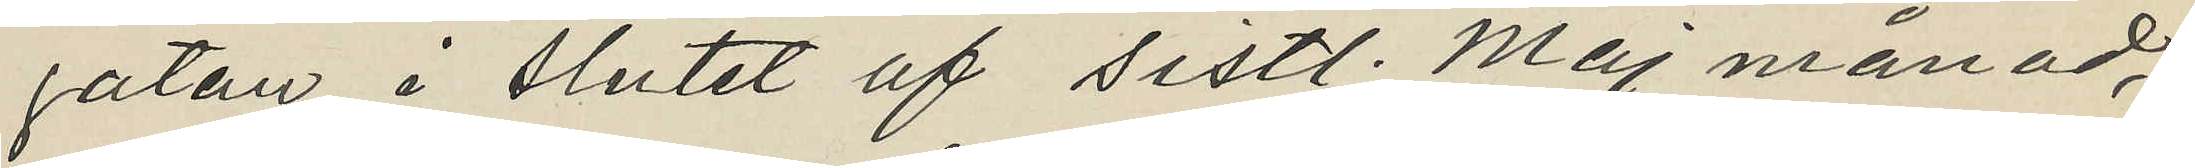gatan i slutet af sistl. Maj månad;
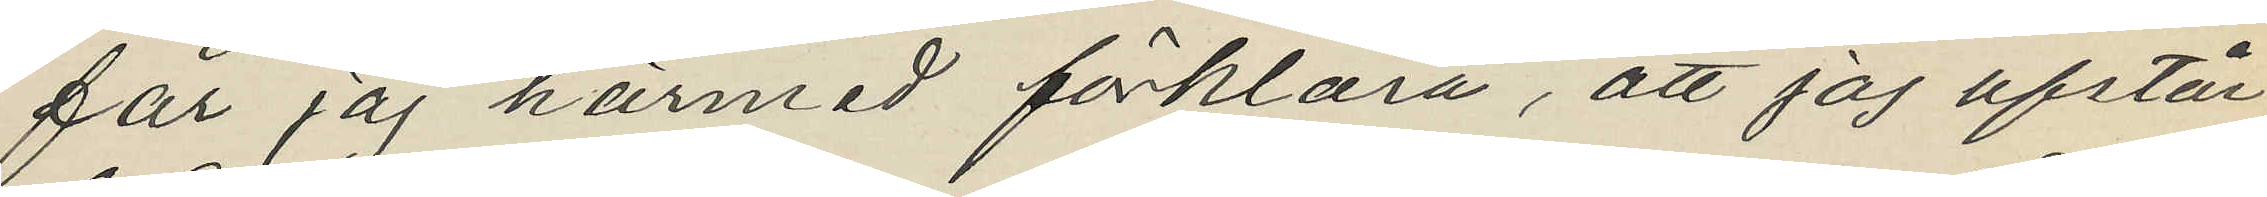får jag härmad förklara, att jag afstår
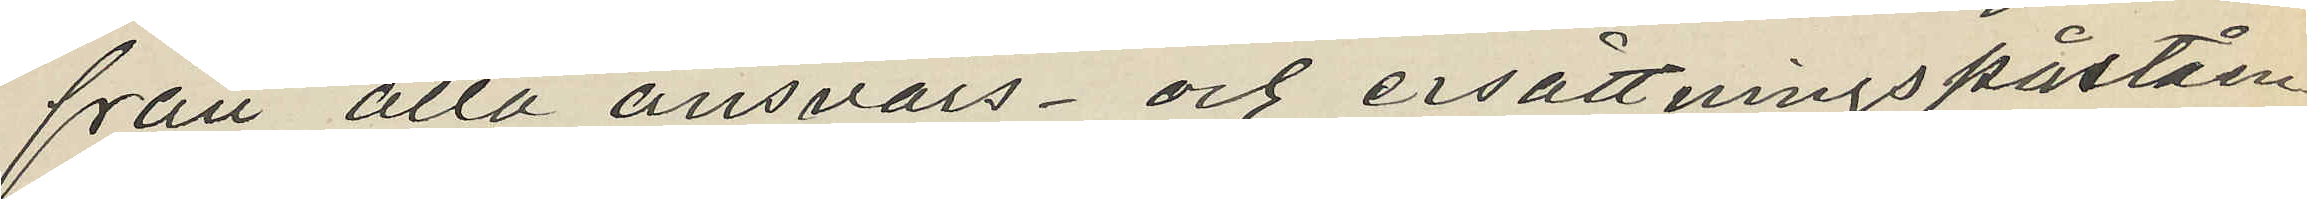från alla ansvars- och ersättningspåståen
